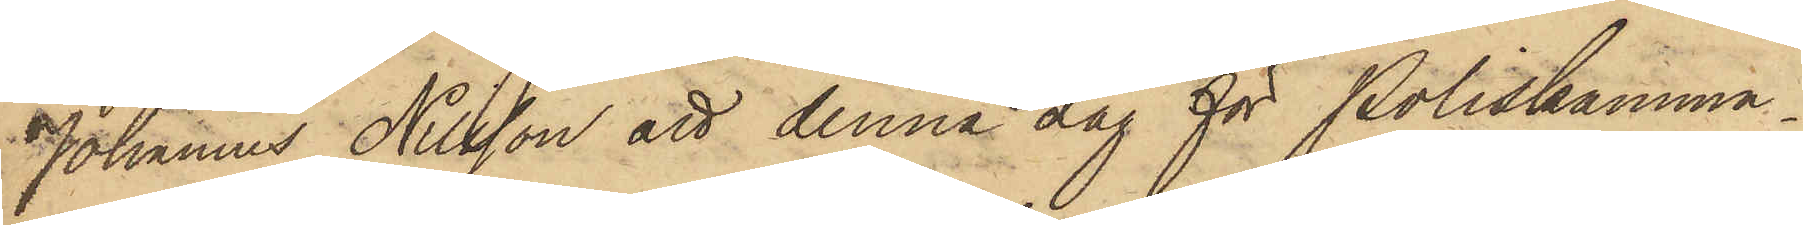Johannes Nilsson att denna dag för Poliskamma¬
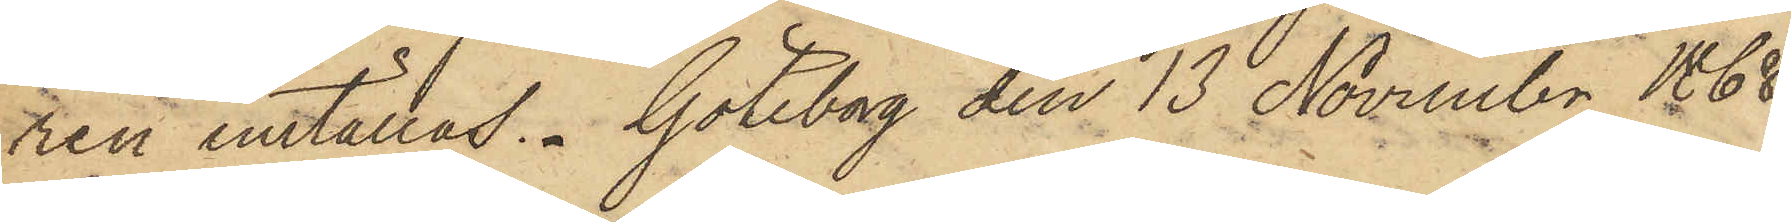ren inställas. Göteborg den 13 November 1868.
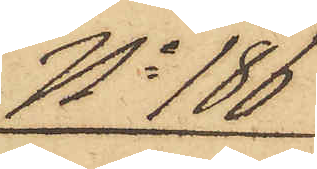No 186
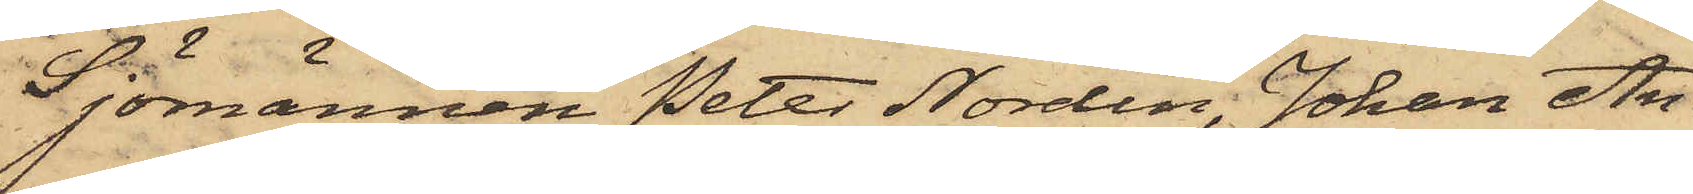Sjömannen Peter Nordin, Johan An¬
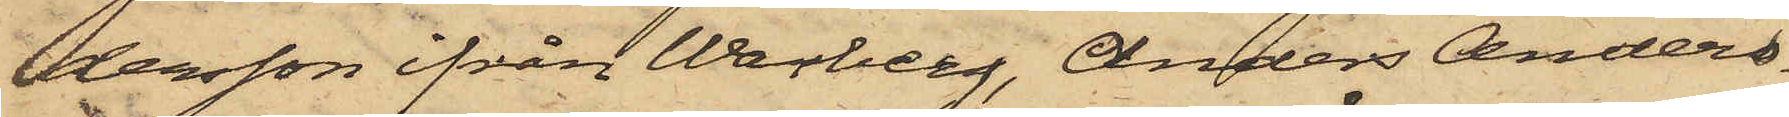dersson ifrån Warberg, Anders Anders¬
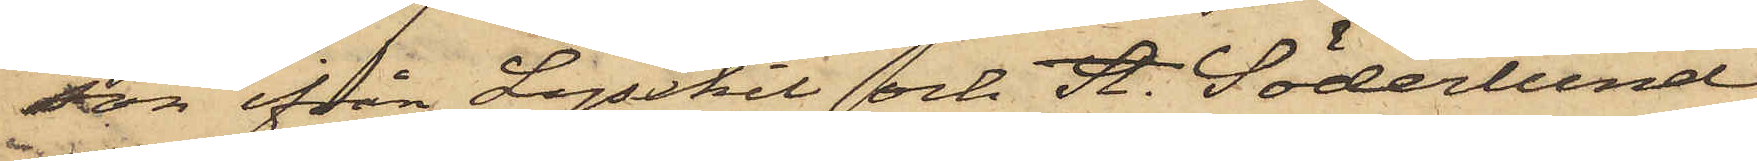son ifrån Lysekil och A. Söderlund
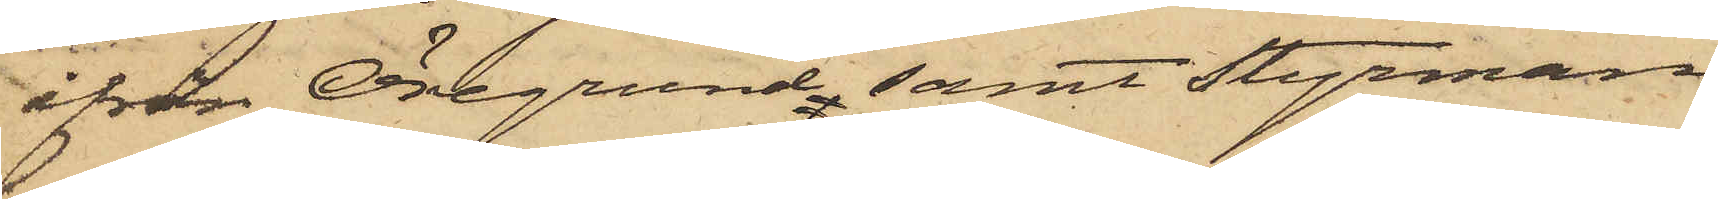ifrån Öregrund, samt Styrman¬
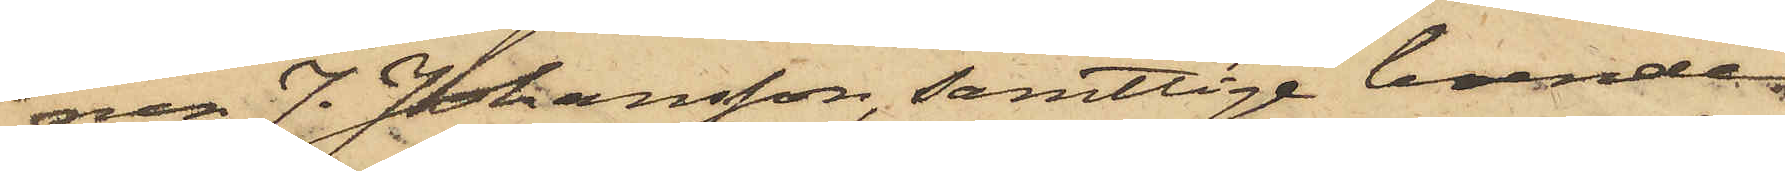nen J. Johansson, samtlige boende
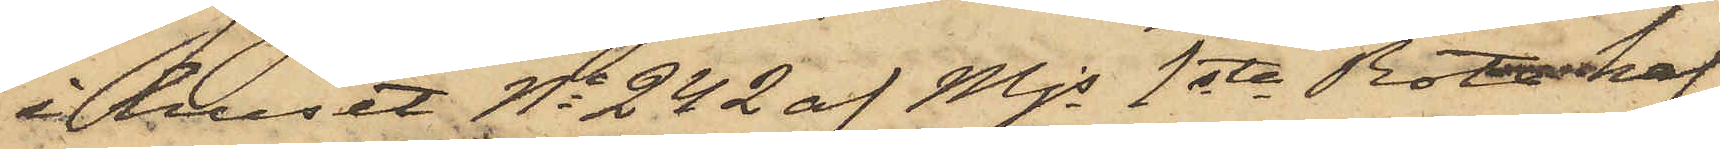i huset No 242 af Mjs 1sta Rote haf¬
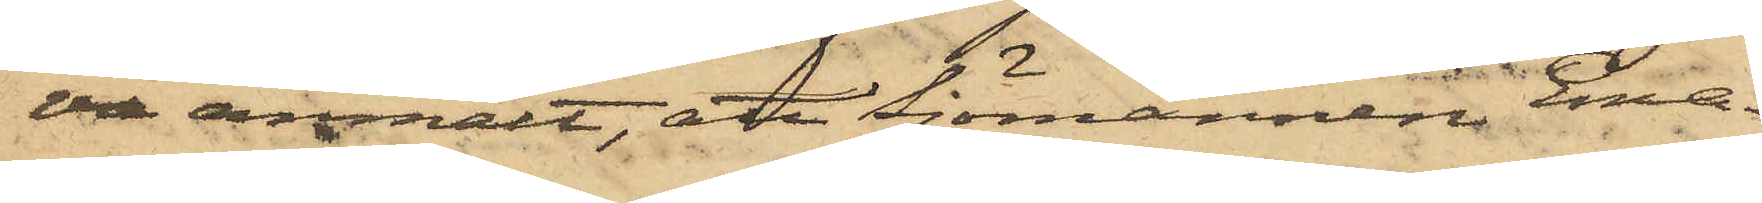va anmält, att Sjömannen Ema¬
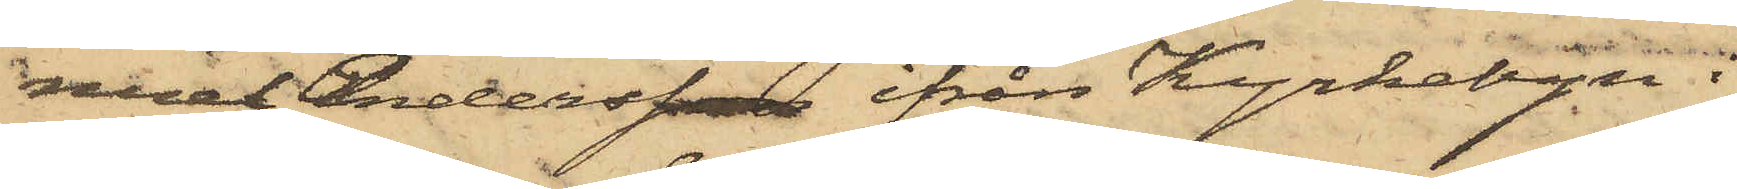nuel Andersson ifrån Kyrkebyn i
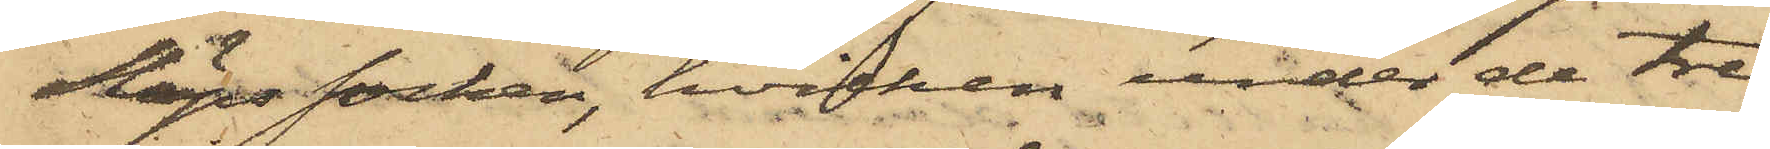Släps socken, hvilken under de tre
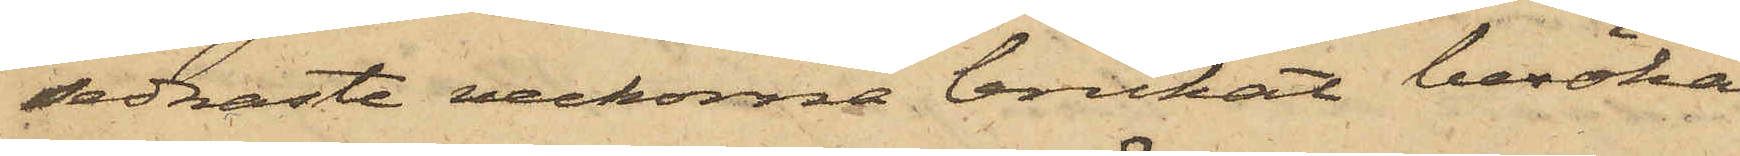sednaste veckorna brukat besöka
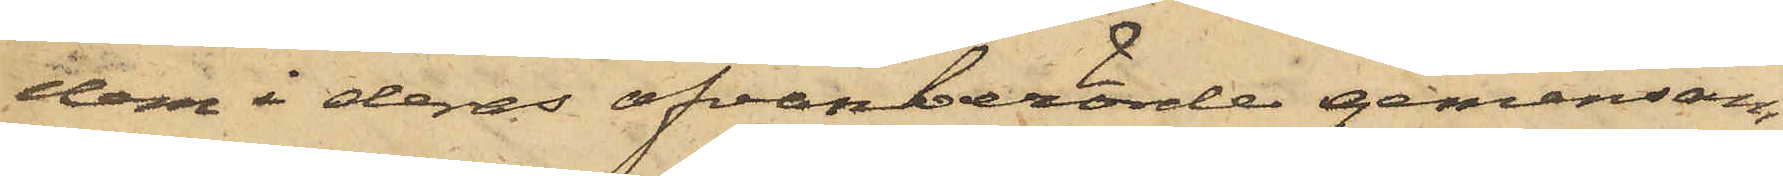dem i deras ofvanberörde gemensam¬
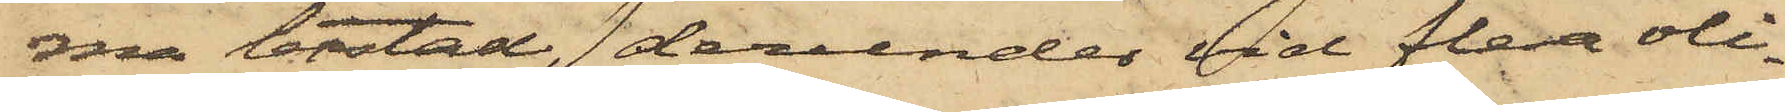ma bostad, derunder vid flera oli¬
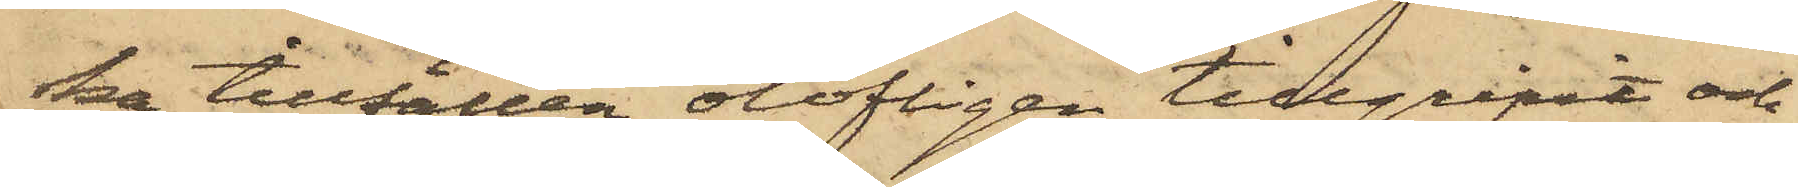ka tillfällen olofligen tillgripit och
